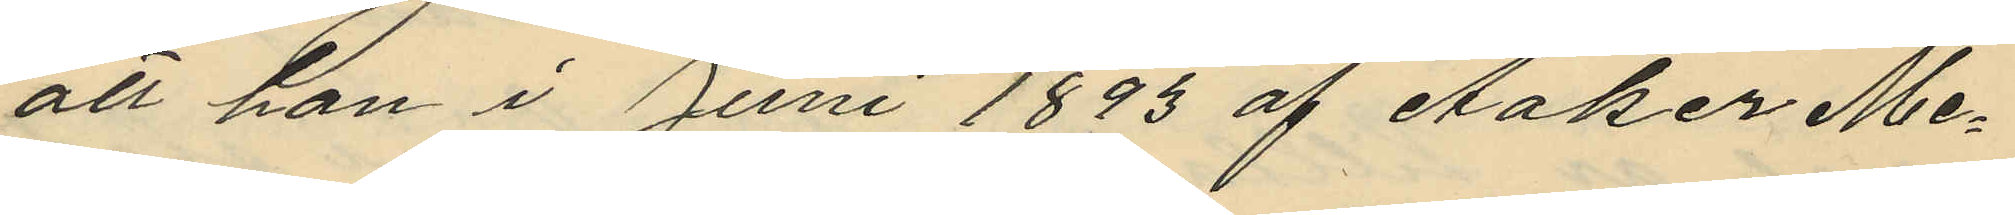att han i Juni 1893 af Aaker Me¬
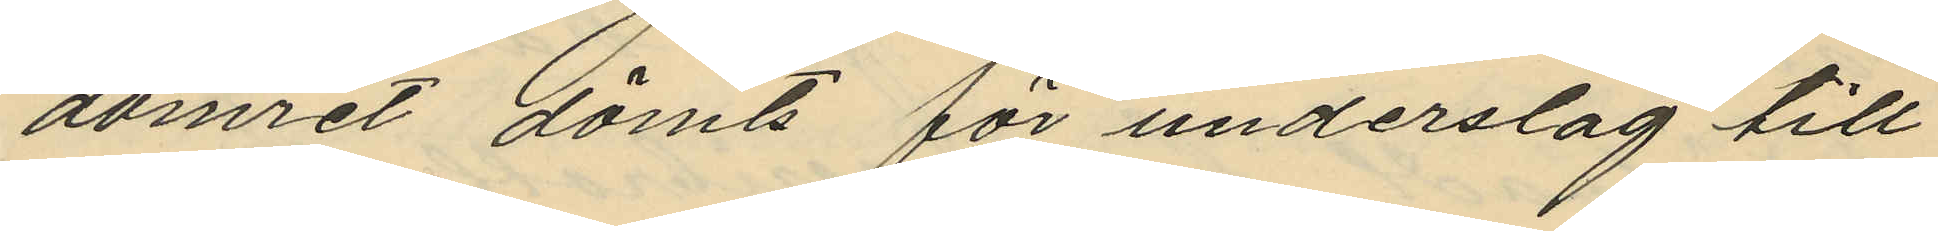domret dömts för underslag till
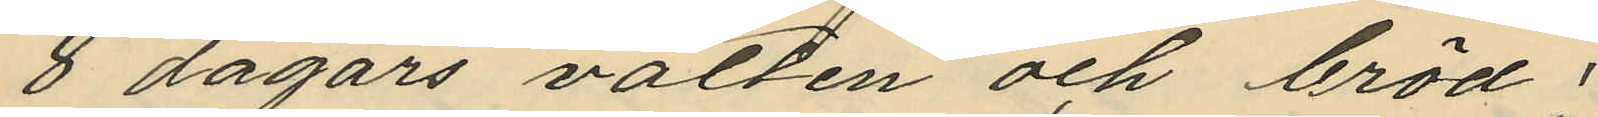8 dagars vatten och bröd;
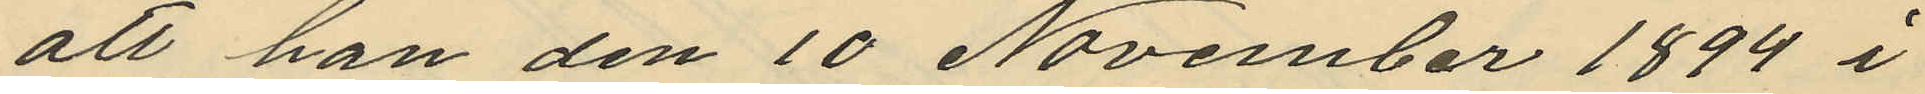att han den 10 November 1894 i
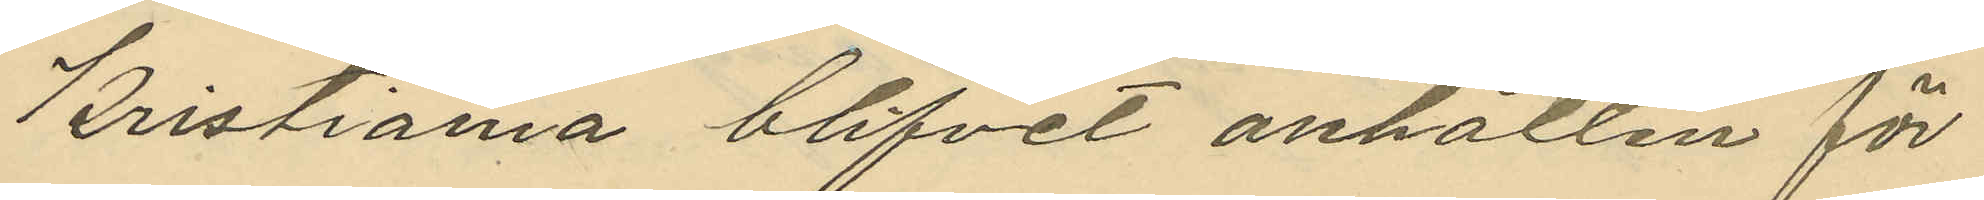Kristiania blifvit anhållen för
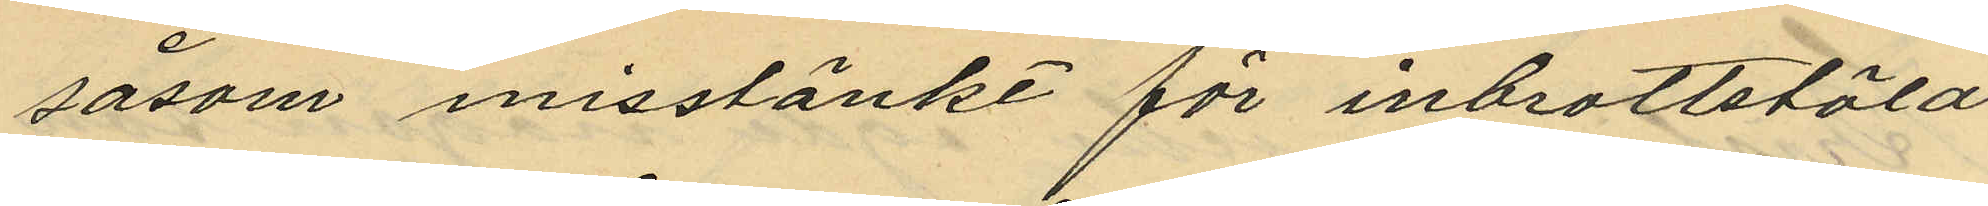såsom misstänkt för inbrottstöld
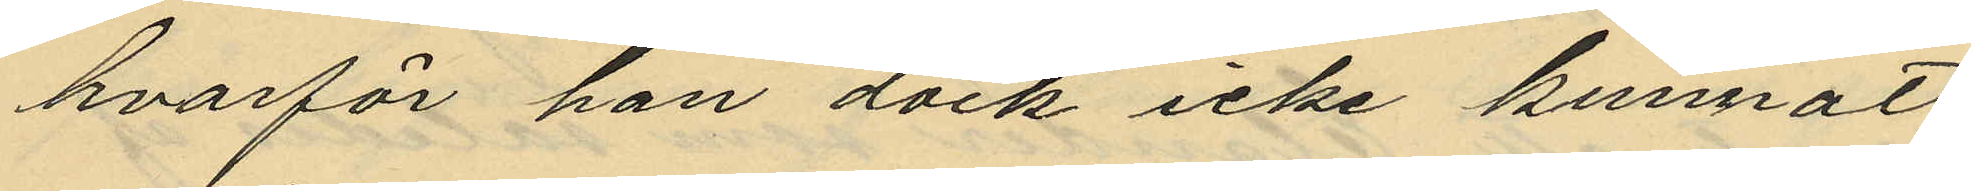hvarför han dock icke kunnat
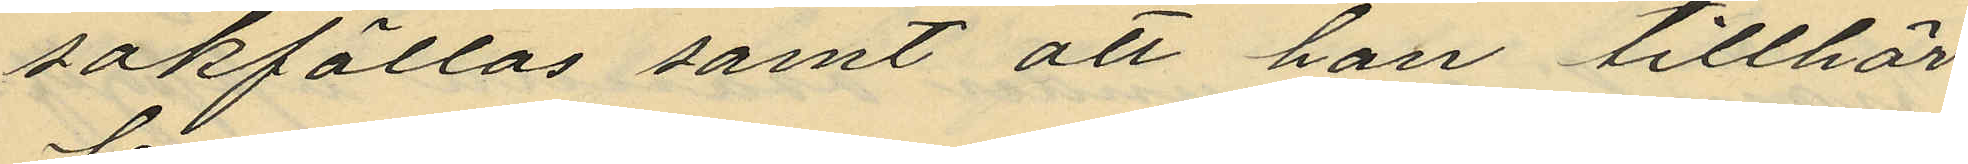sakfällas samt att han tillhör
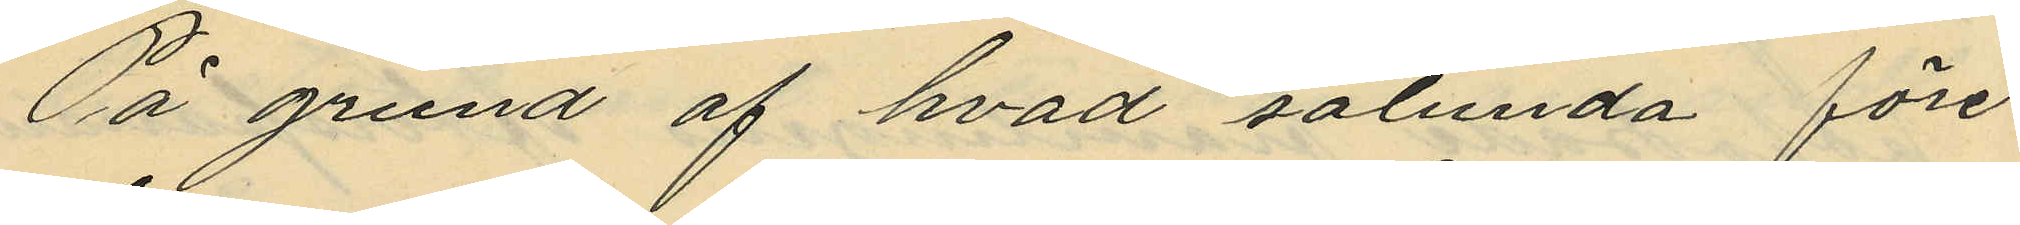På grund af hvad sålunda före¬
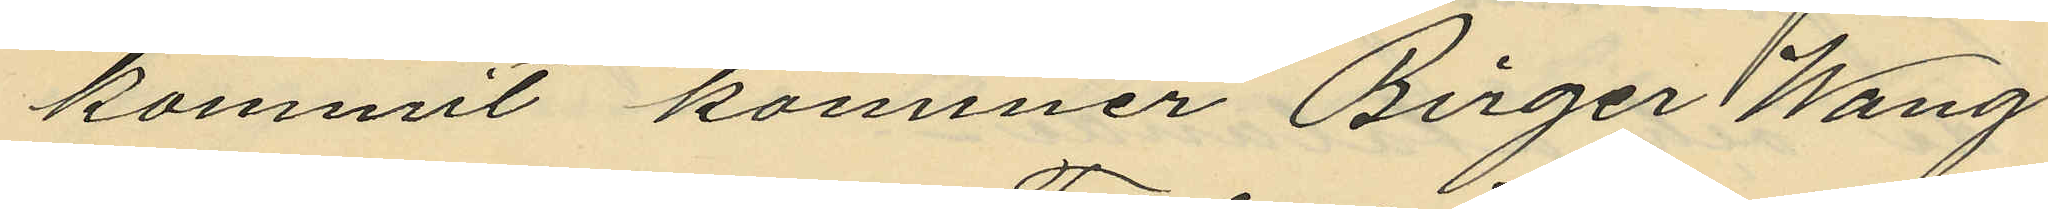kommit kommer Birger Wang
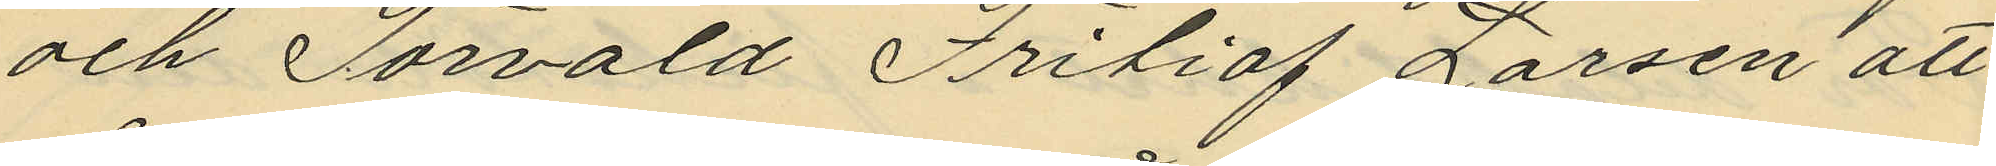och Torvald Fritiof Larsen att
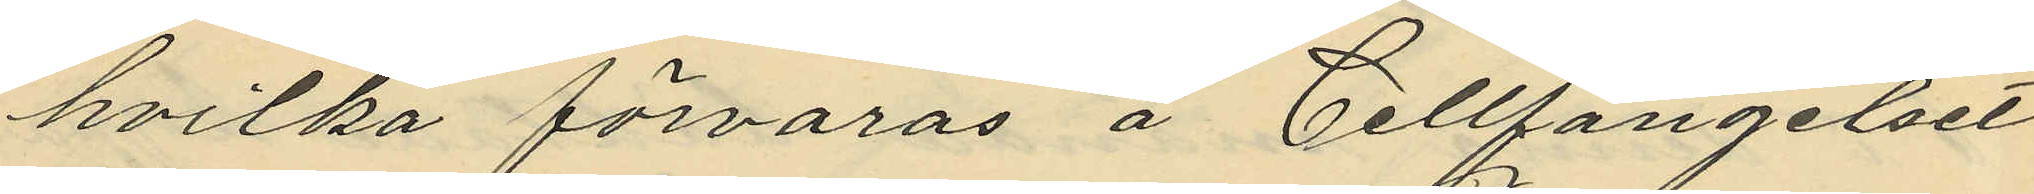hvilka förvaras å Cellfängelset
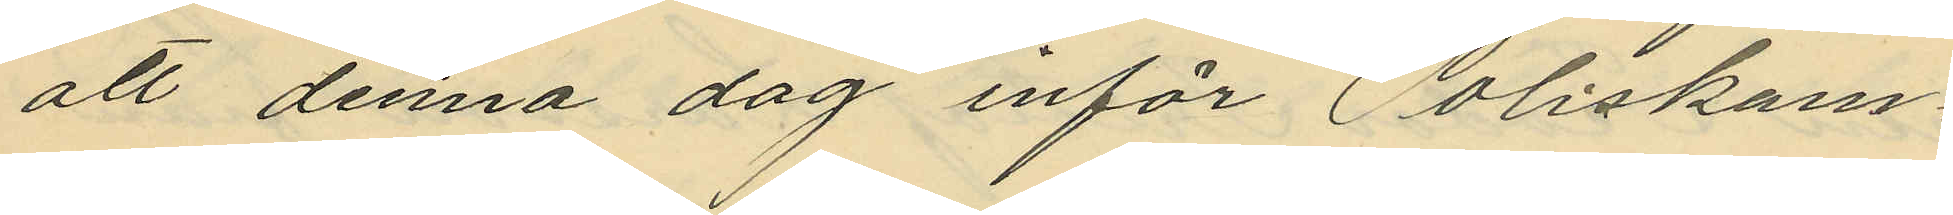att denna dag inför Poliskam¬
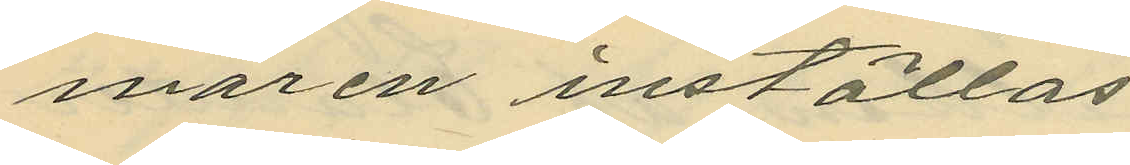maren inställas.
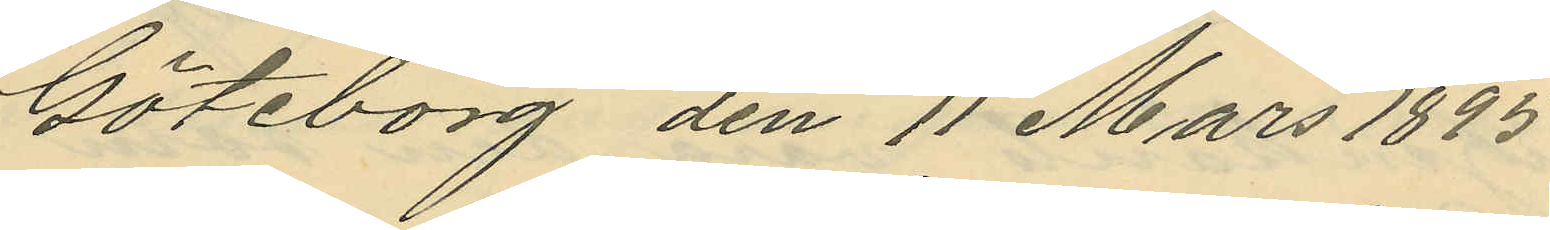Göteborg den 11 Mars 1895
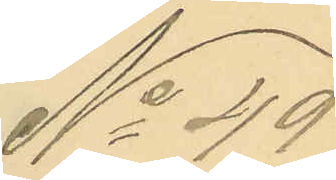No 49
